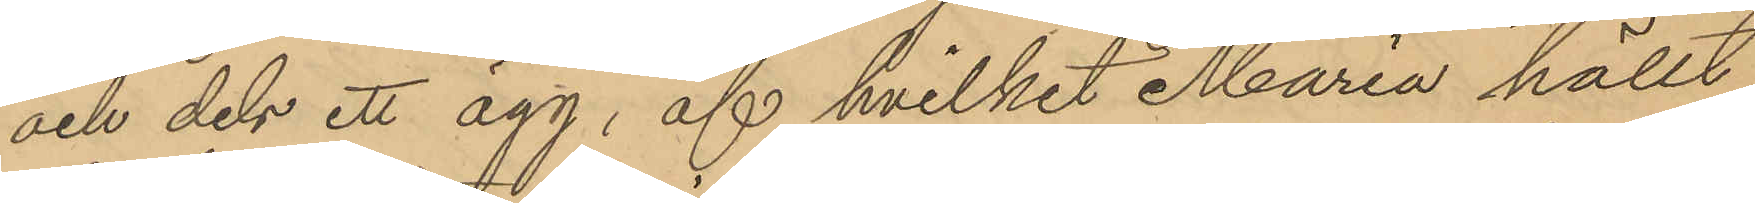och dels ett ägg, af hvilket Maria hällt
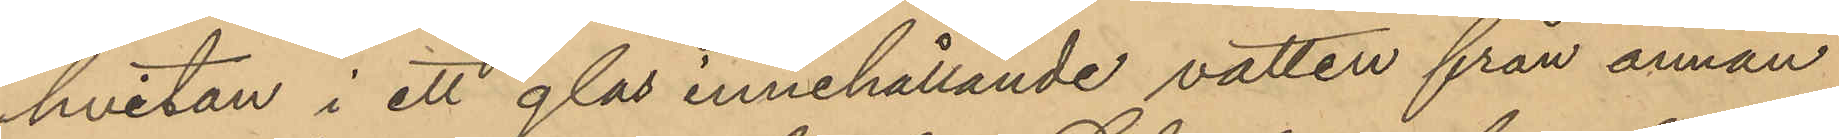hvitan i ett glas innehållande vatten från annan
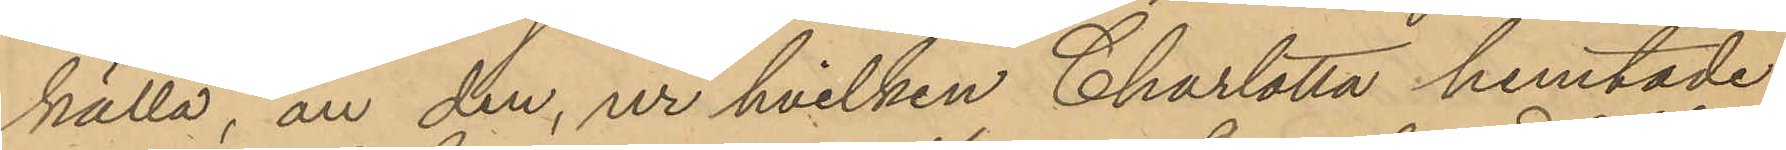källa, än den, ur hvilken Charlotta hemtade
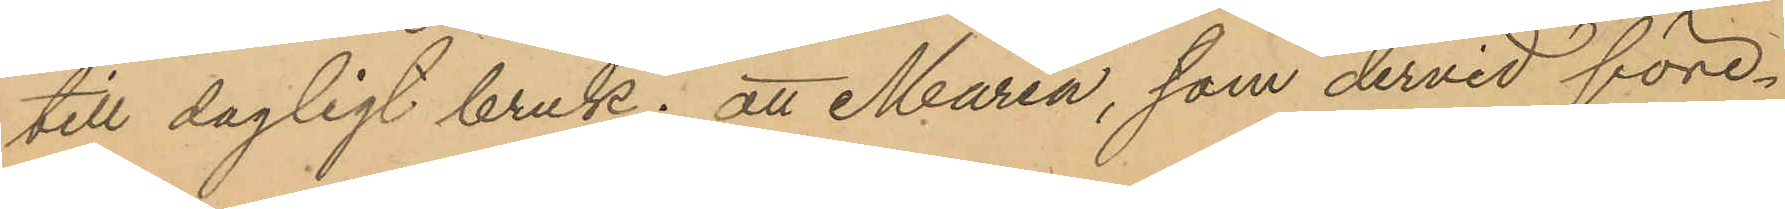till dagligt bruk; att Maria, som dervid före¬
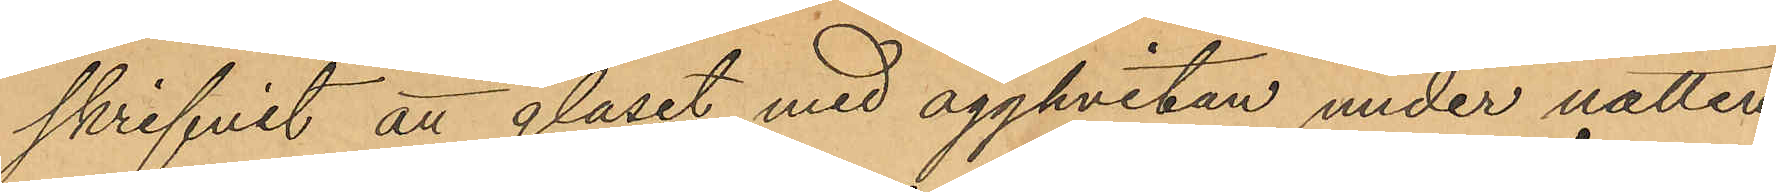skrifvit att glåset med ägghvitan under natten
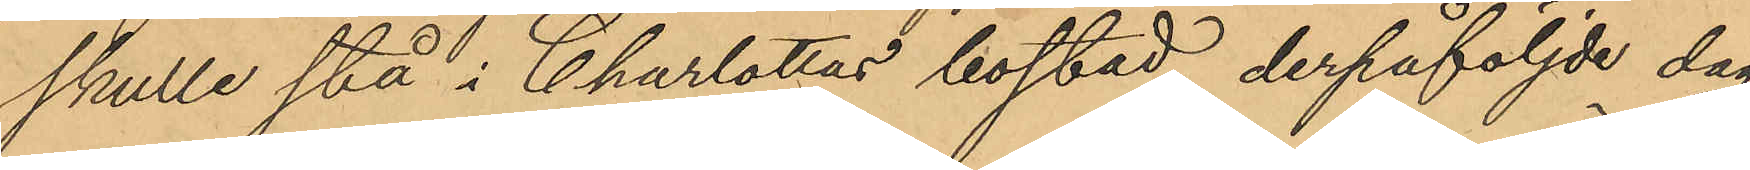skulle stå i Charlottas bostad, derpåföljde dag
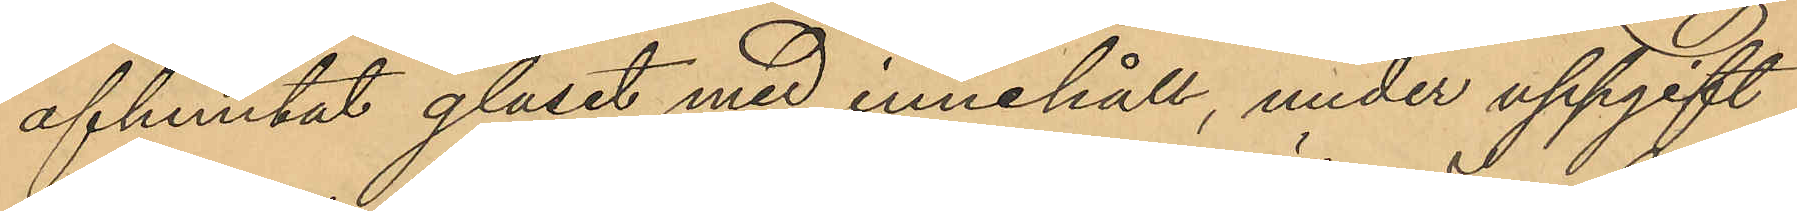afhemtat glaset med innehåll, under uppgift
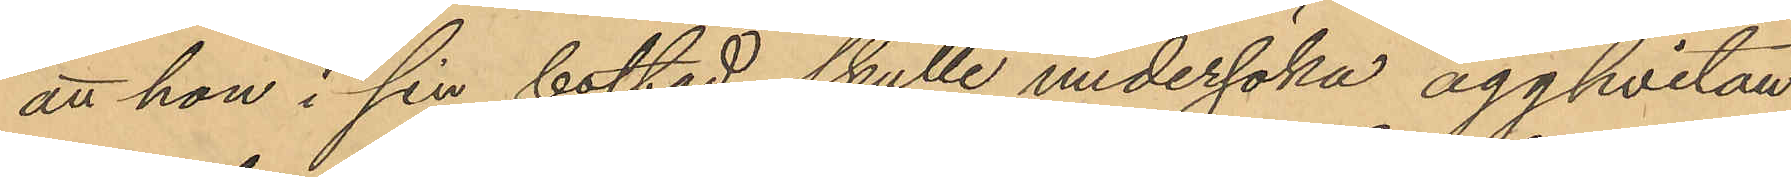att hon i sin bostad skulle undersöka ägghvitan
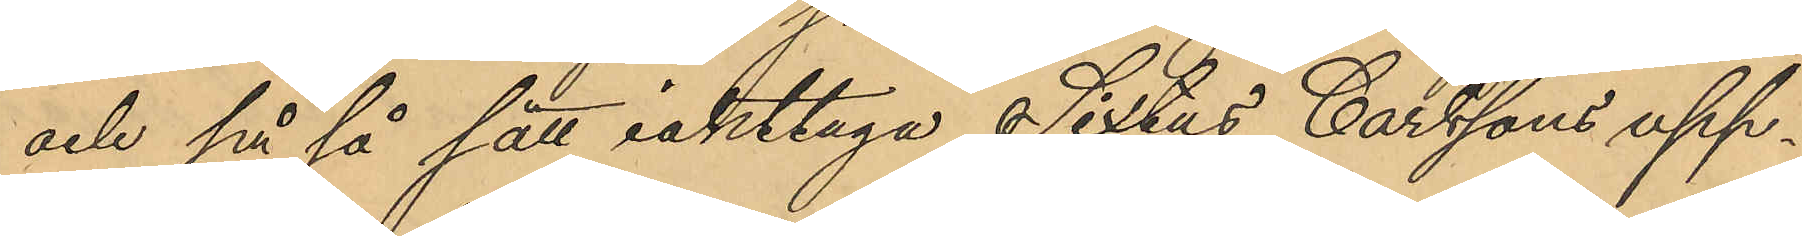och på så sätt iakttaga Sextus Carlssons upp¬
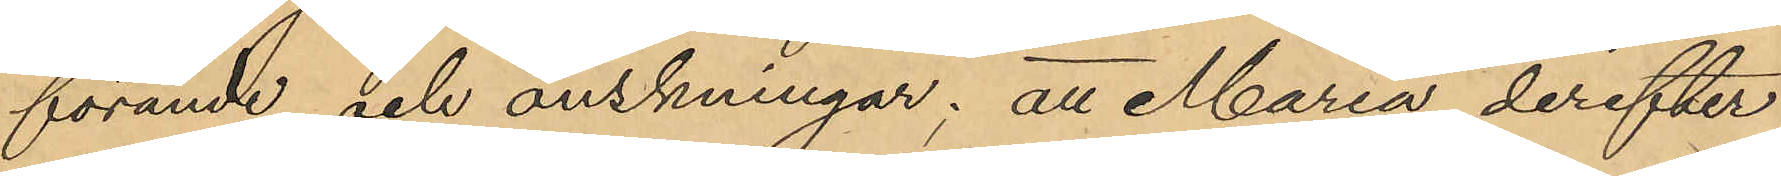förande och önskningar; att Maria derefter
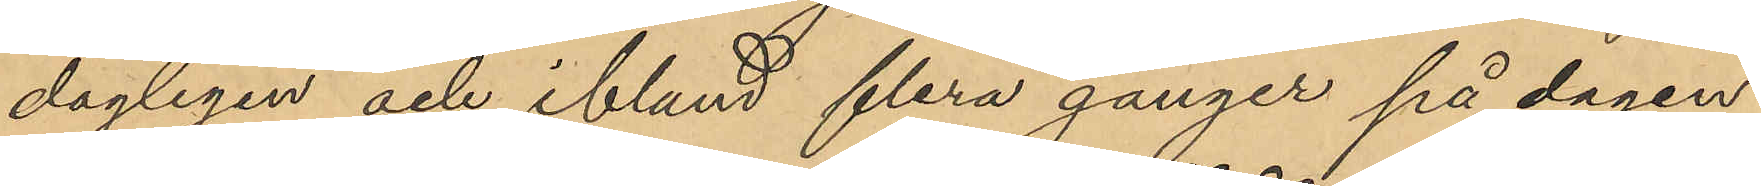dagligen och ibland flera gånger på dagen
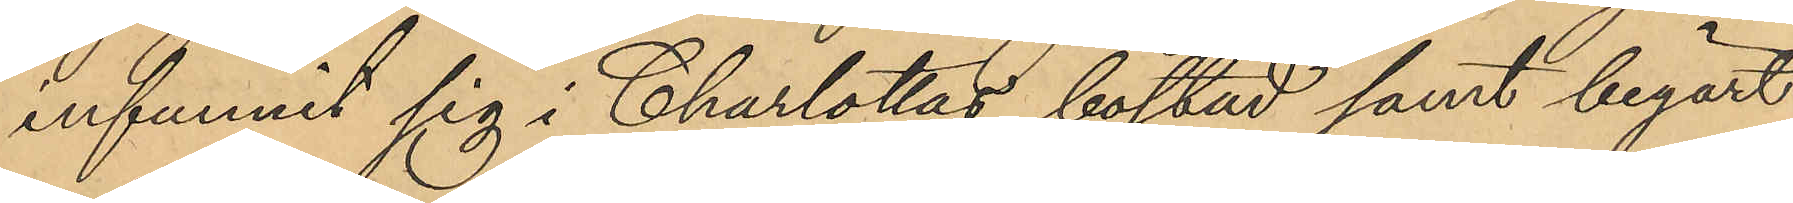infunnit sig i Charlottas bostad samt begärt
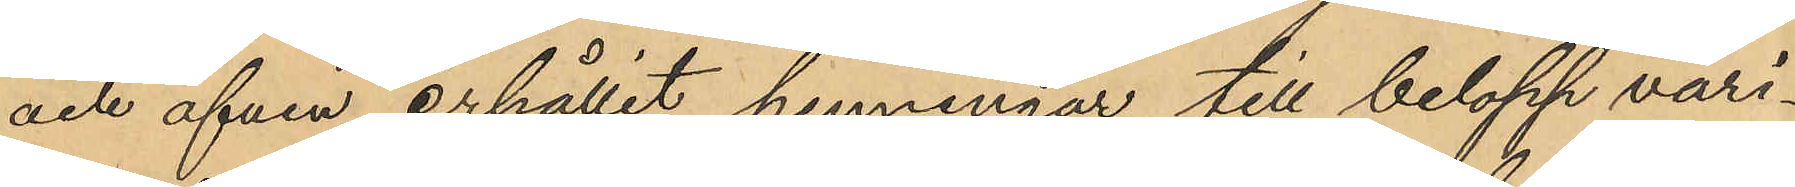och äfven erhållit penningar till belopp vari¬
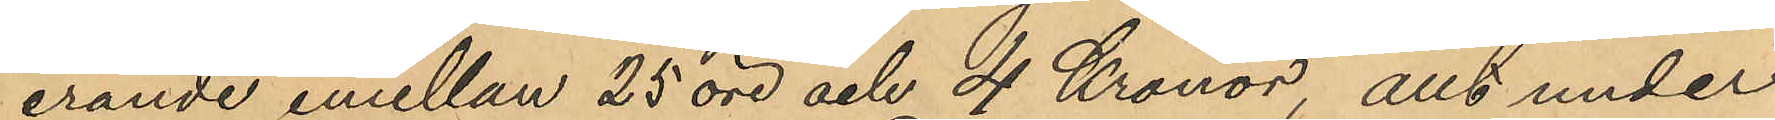erande emellan 25 öre och 4 Kronor, allt under
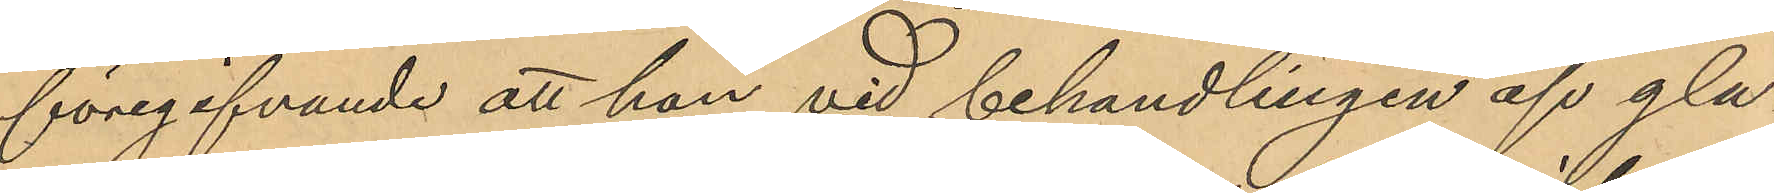föregifvande att han vid behandlingen af gla¬
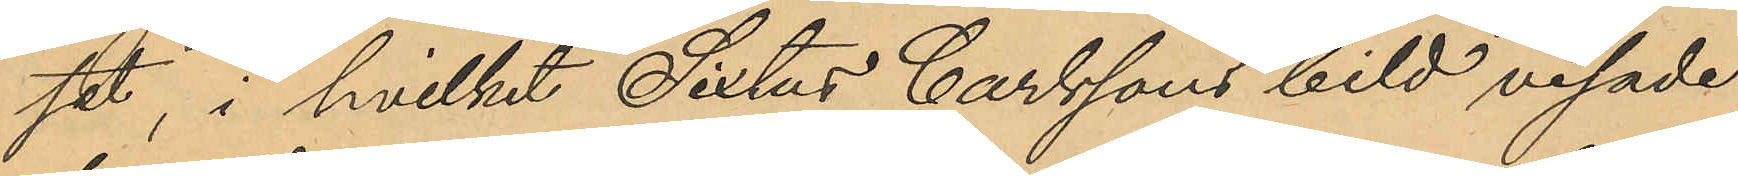set, i hvilket Sixtus Carlssons bild visade
